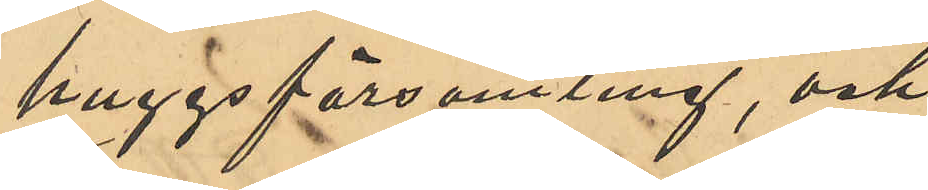huggsförsamling, och
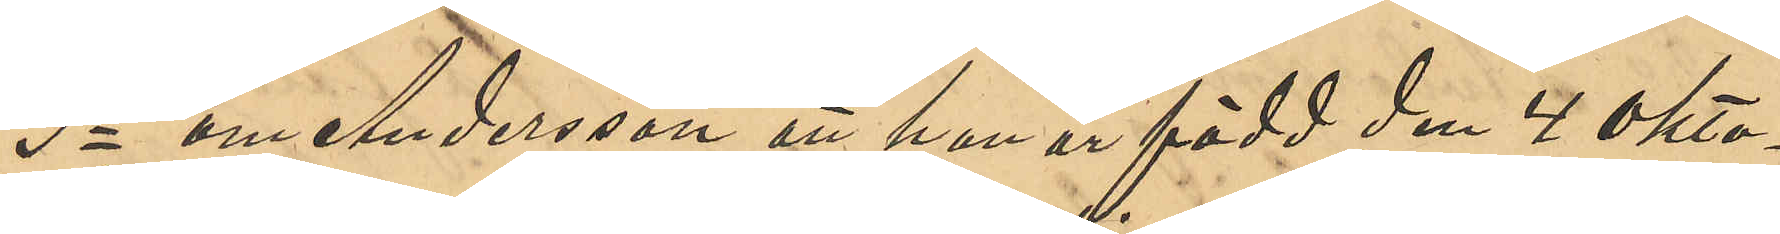3o om Andersson att han är född den 4 okto¬
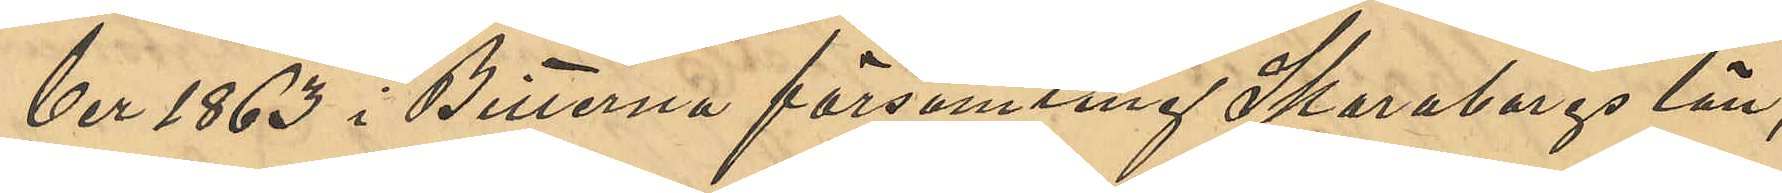ber 1863 i Bitterna församling Skaraborgs län;
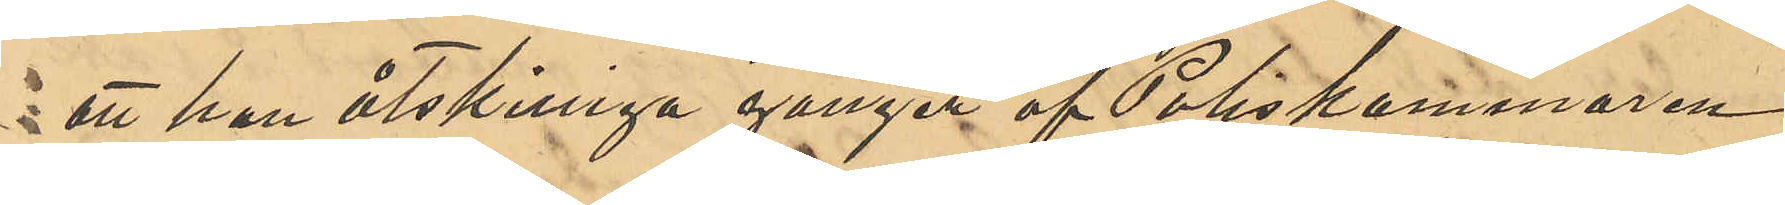att han åtskilliga gånger af Poliskammaren
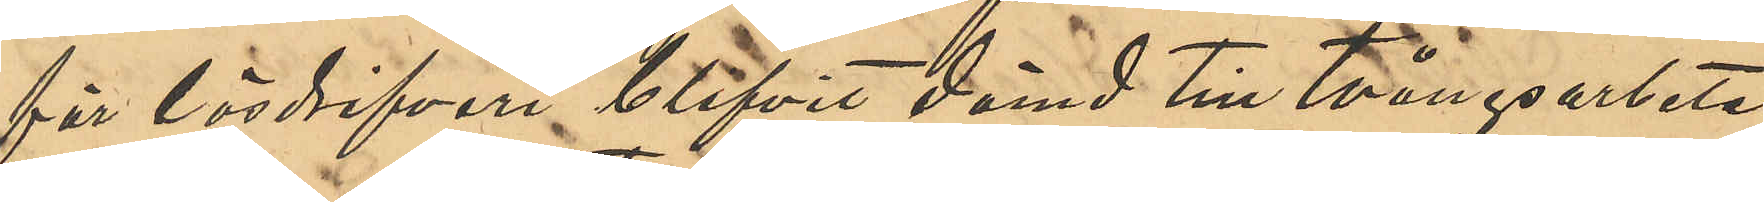för lösdrifveri blifvit dömd till tvångsarbete;
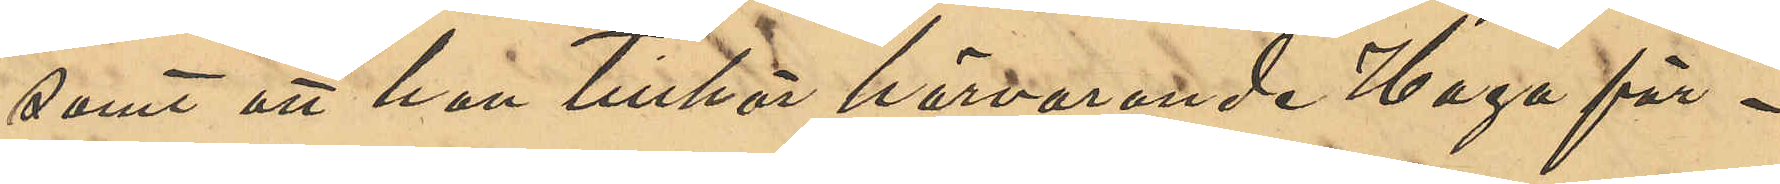samt att han tillhör härvarande Haga för¬
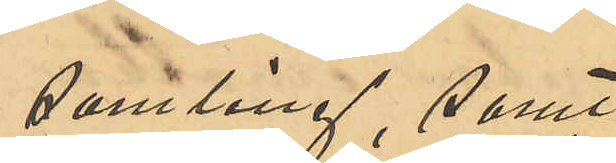samling, samt
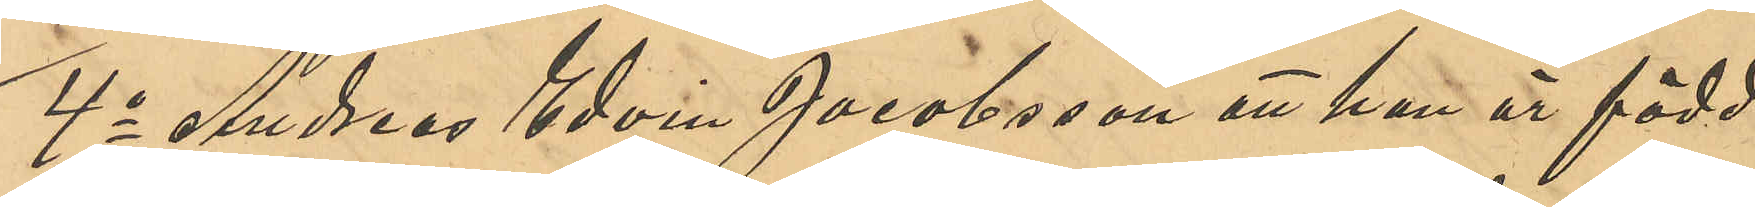4o Andreas Edvin Jacobsson att han är född
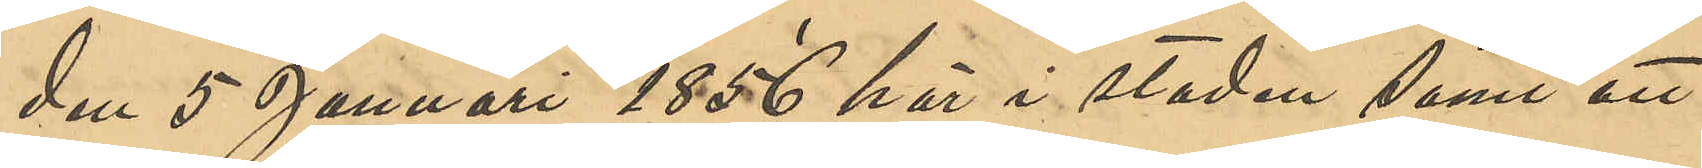den 5 Januari 1856 här i staden samt att
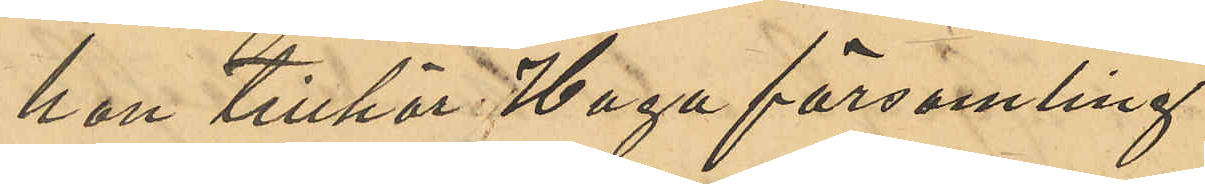han tillhör Haga församling.
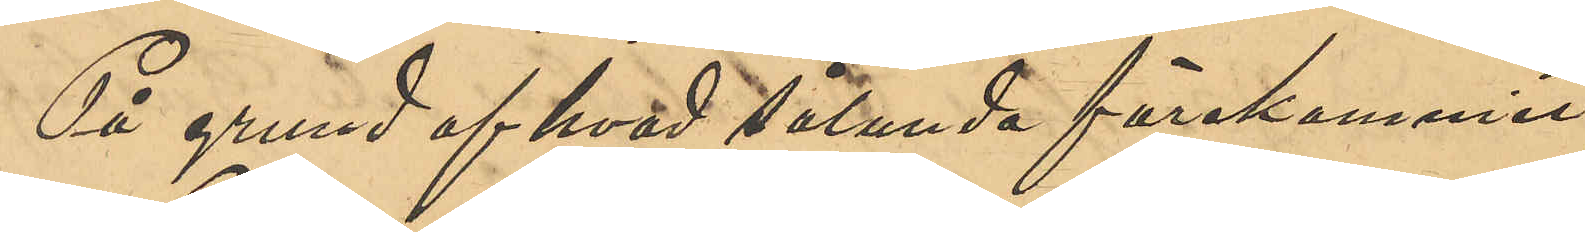På grund af hvad sålunda förekommit
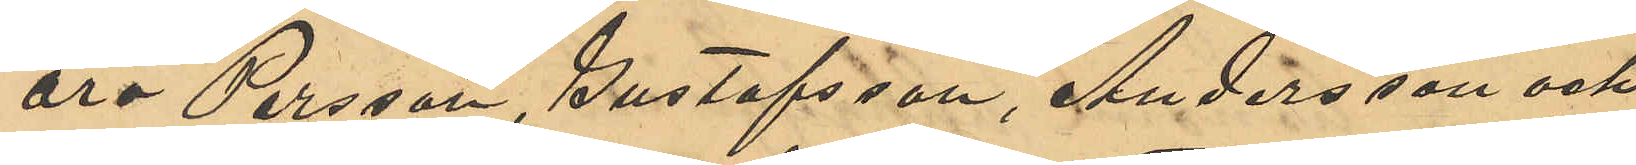äro Persson, Gustafsson, Andersson och
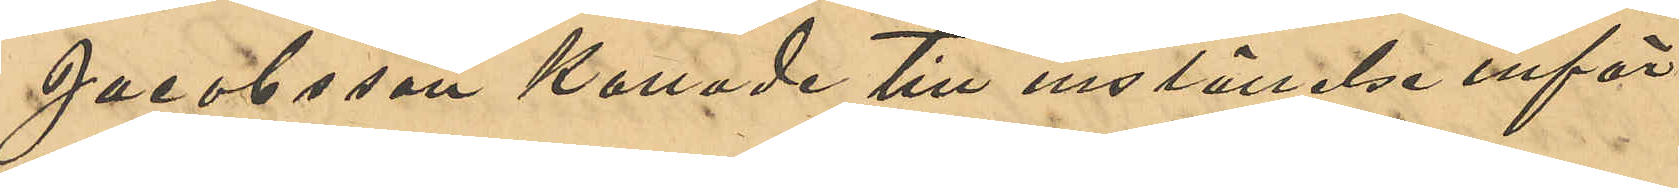Jacobsson kallade till inställelse inför
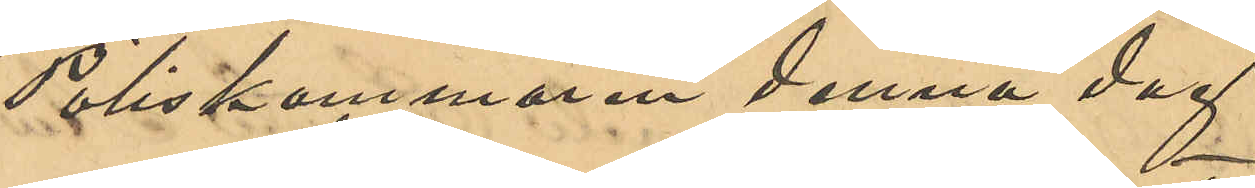Poliskammaren denna dag.
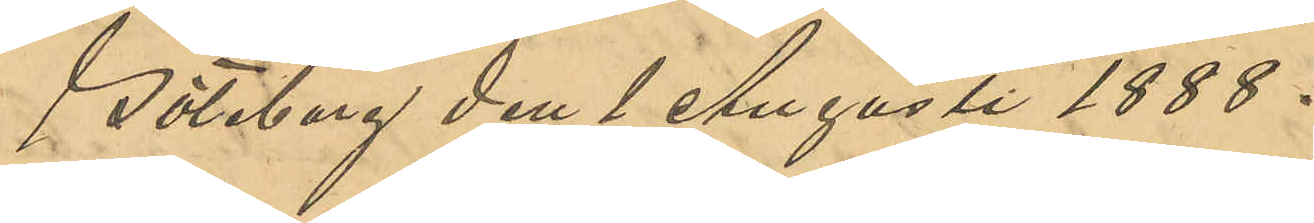Göteborg den 1 Augusti 1888.
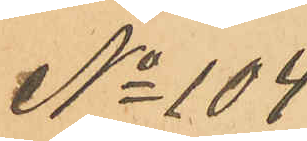No 104
